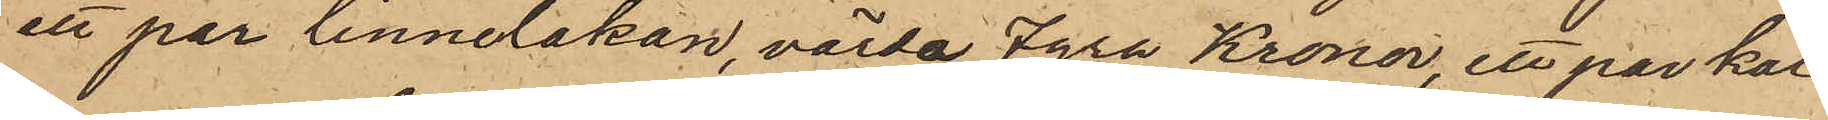ett par linnelakan, värda Fyra Kronor, ett par kal¬
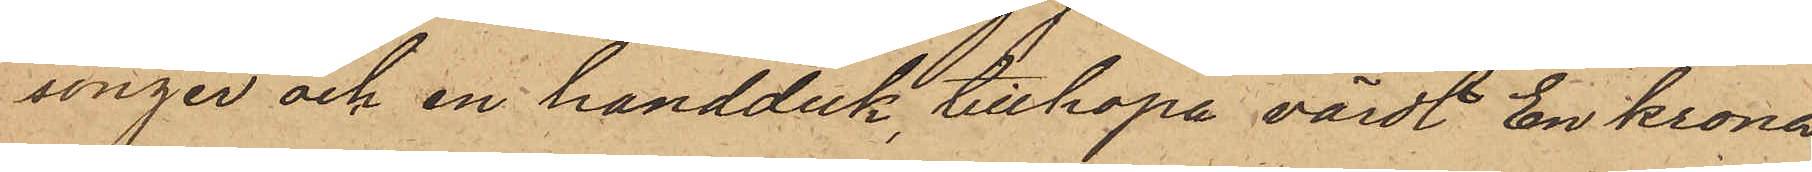songer och en handduk, tillhopa värdt En Krona
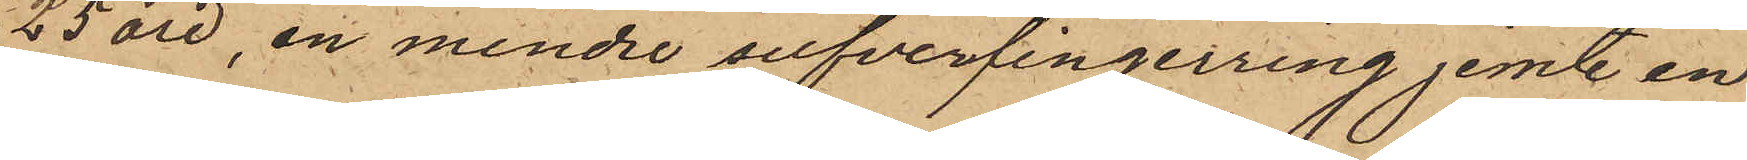25 öre, en mindre silfverfingerring jemte en
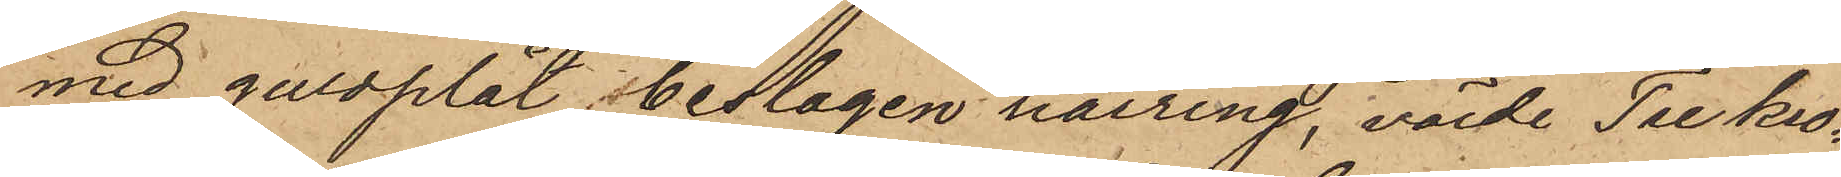med guldplåt beslagen hårring, värde Tre kro¬
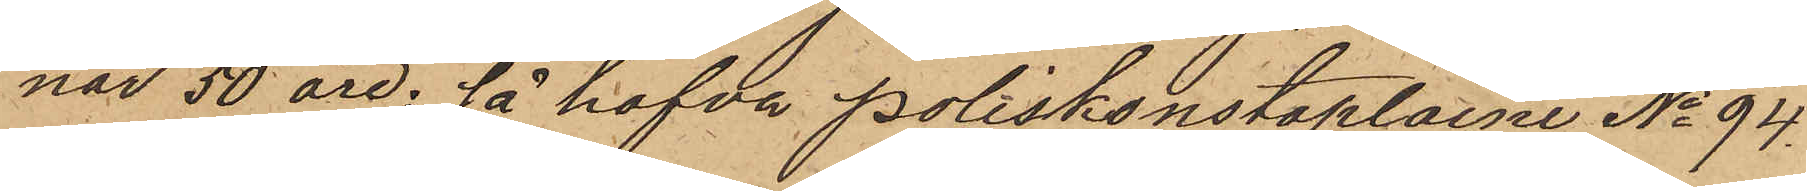nor 50 öre; så hafva Poliskonstaplarne No 94
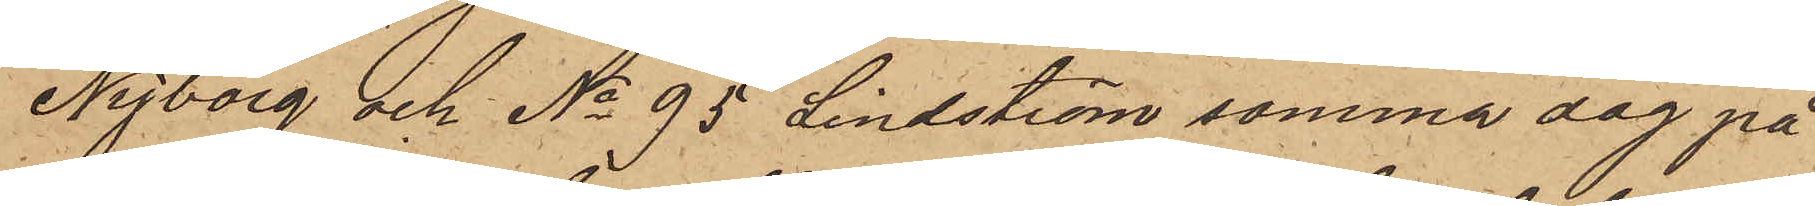Nyborg och No 95 Lindström samma dag på
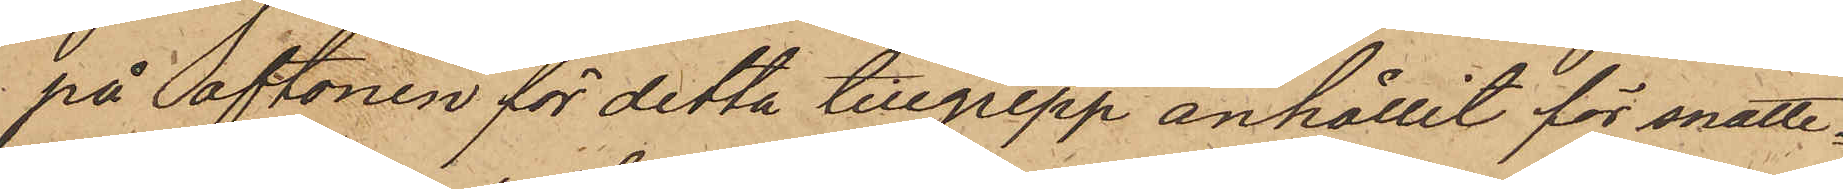på aftonen för detta tillgrepp anhållit för snatte¬
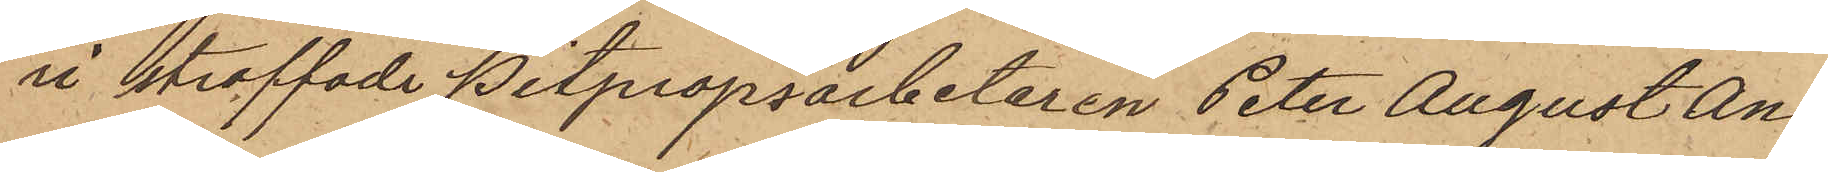ri straffade Pitpropsarbetaren Peter August An¬
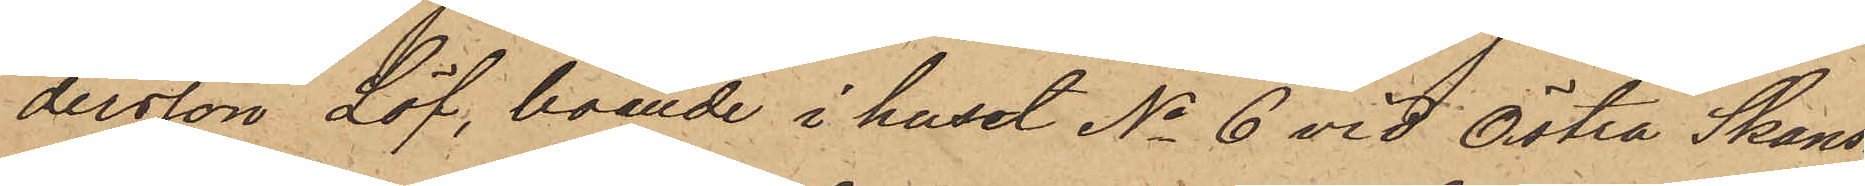dersson Löf, boende i huset No 6 vid Östra Skans¬
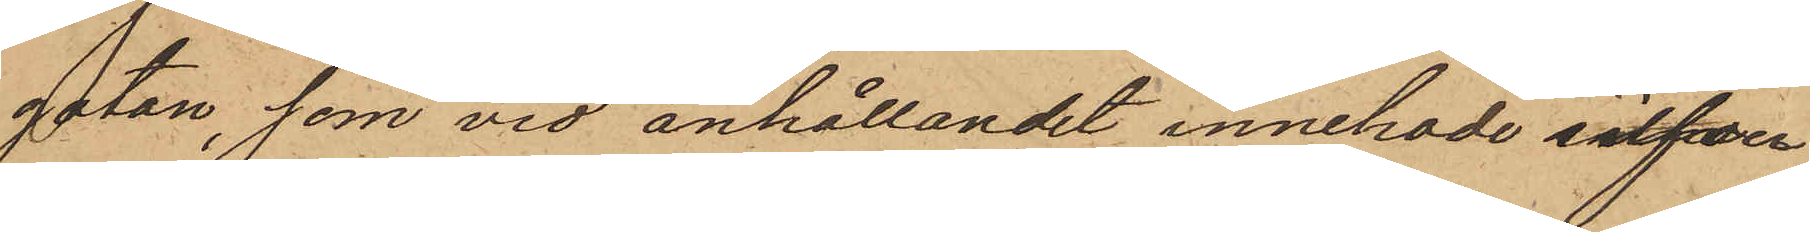gatan, som vid anhållandet innehade silfver¬
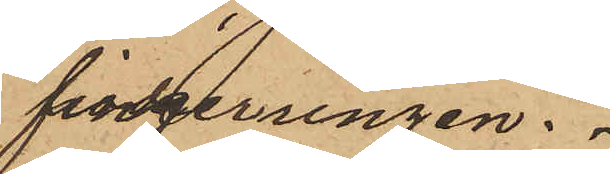fingerringen.
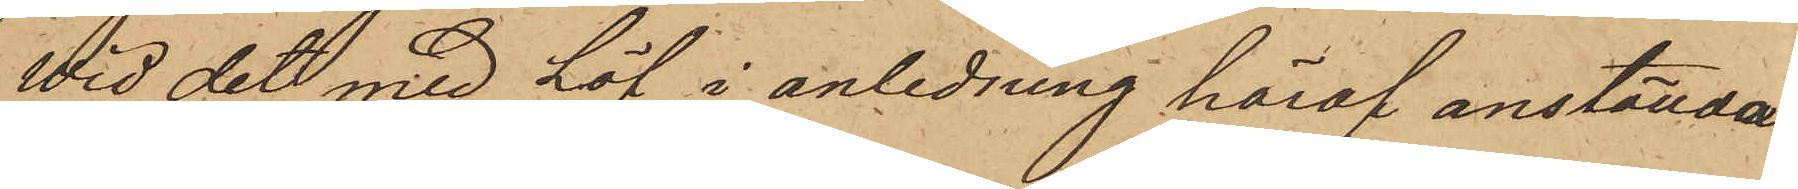Wid det med Löf i anledning häraf anställda
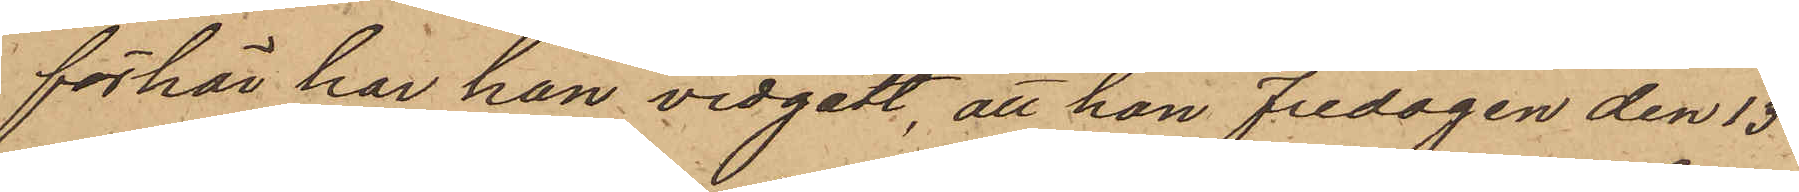förhör har han vidgått, att han Fredagen den 13
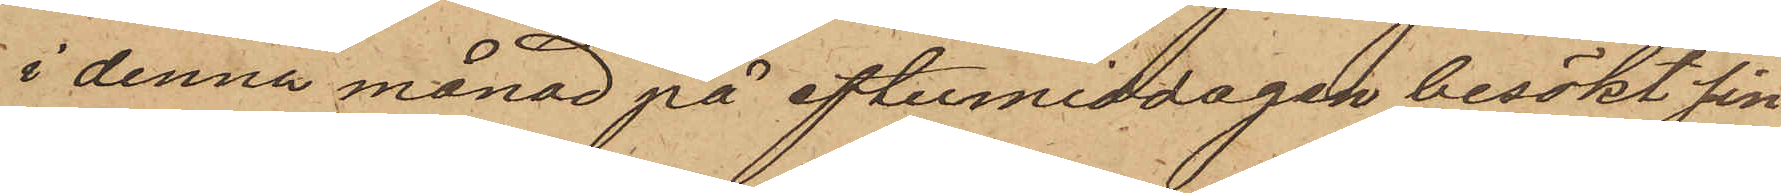i denna månad på eftermiddagen besökt sin
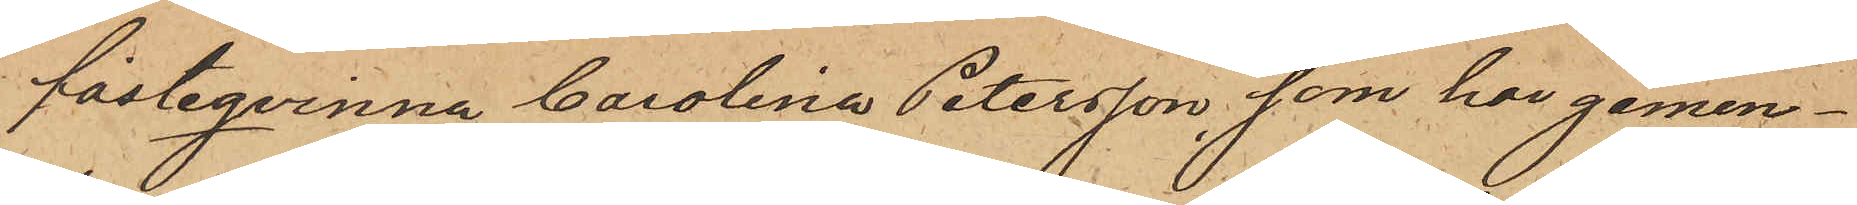fästeqvinna Carolina Petersson, som har gemen¬
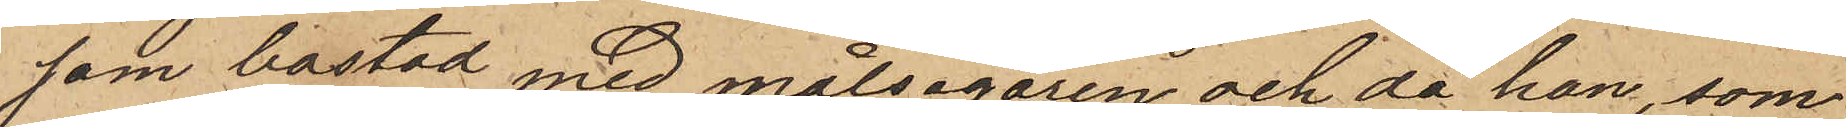sam bostad med målsegaren och då han, som
